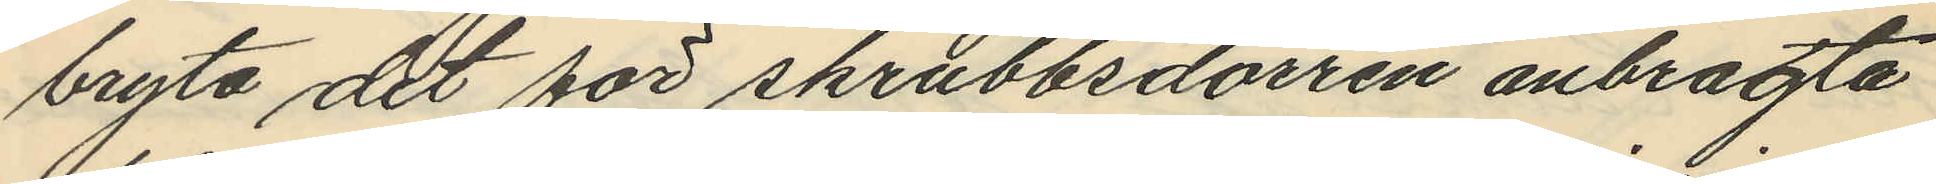bryta det för skrubbsdörren anbragta
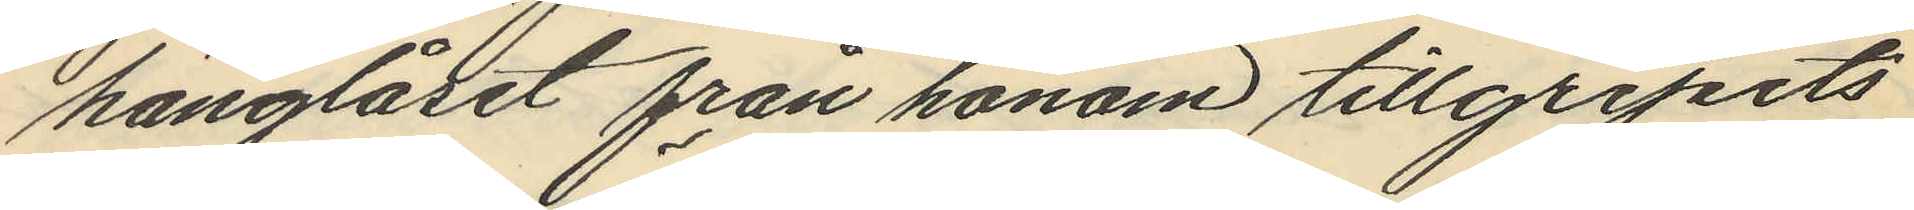hänglåset från honom tillgripits
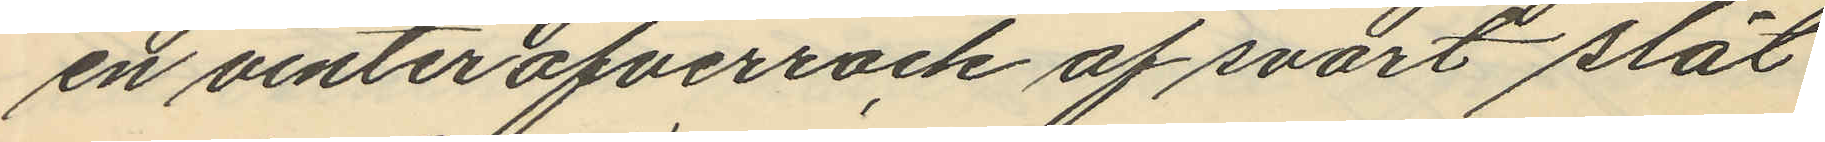en vinteröfverrock af svart slät
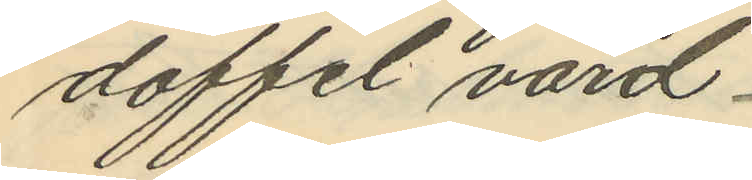doffel, värd
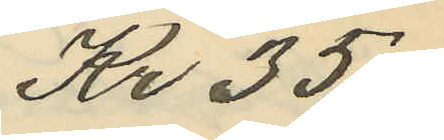Kr 35:-
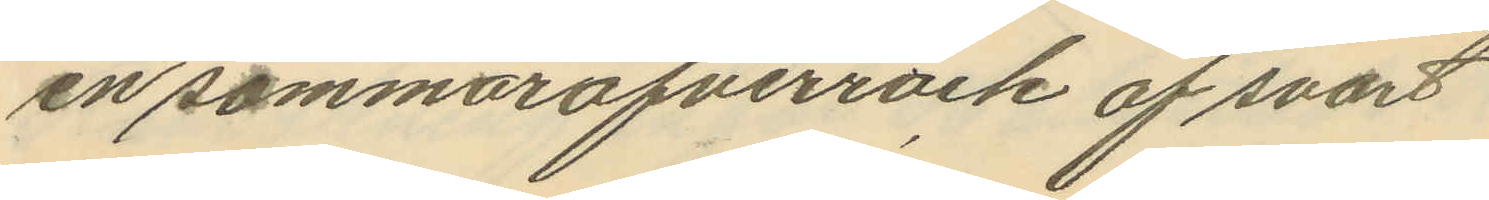en sommaröfverrock af svart
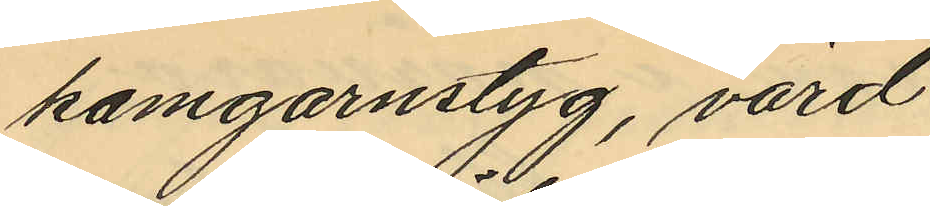kamgarnstyg, värd
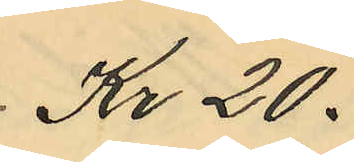Kr 20.
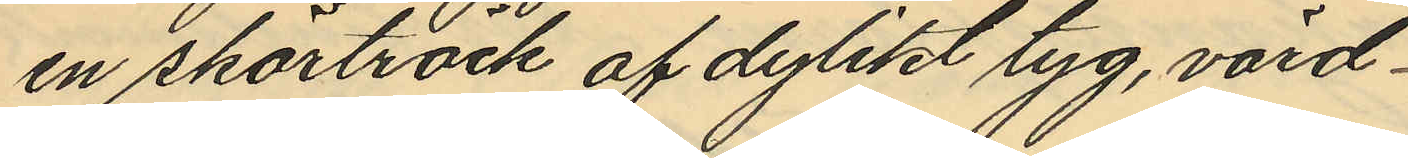en skörtråck af dylikt tyg, värd
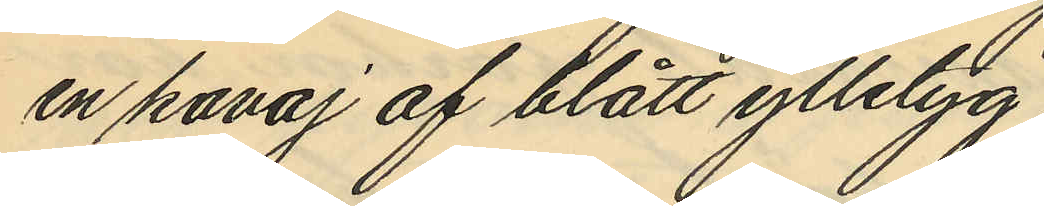en kavaj af blått ylletyg,
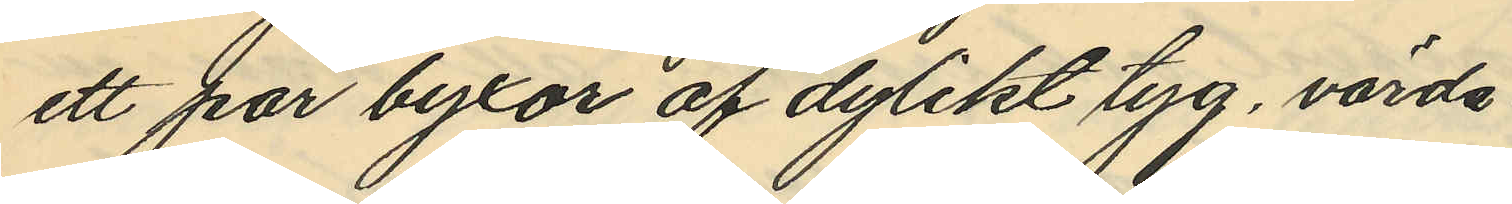ett par byxor af dylikt tyg, värda
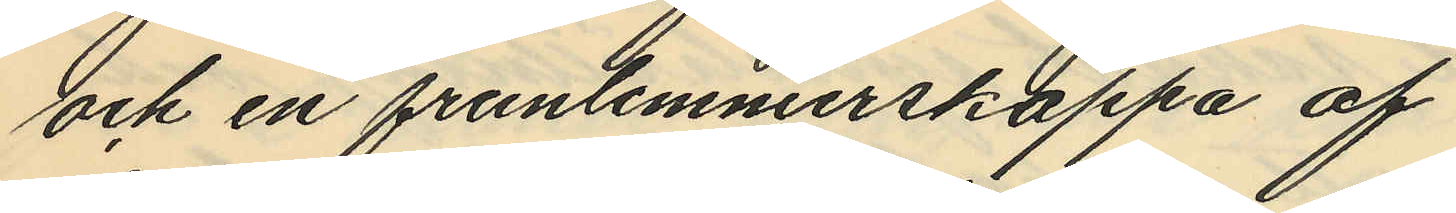och en fruntimmerskappa af
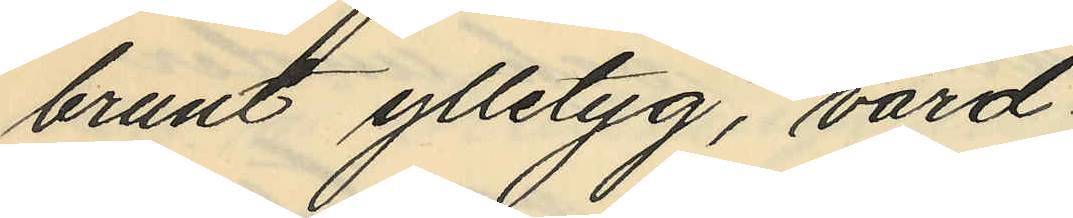brunt ylletyg, värd
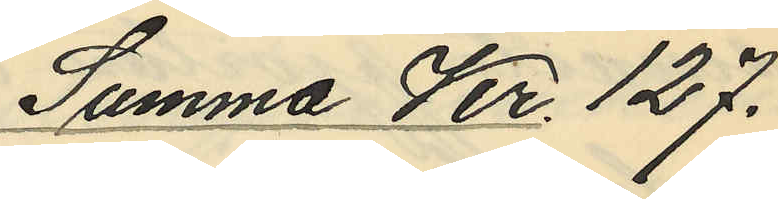Summa Kr. 127.
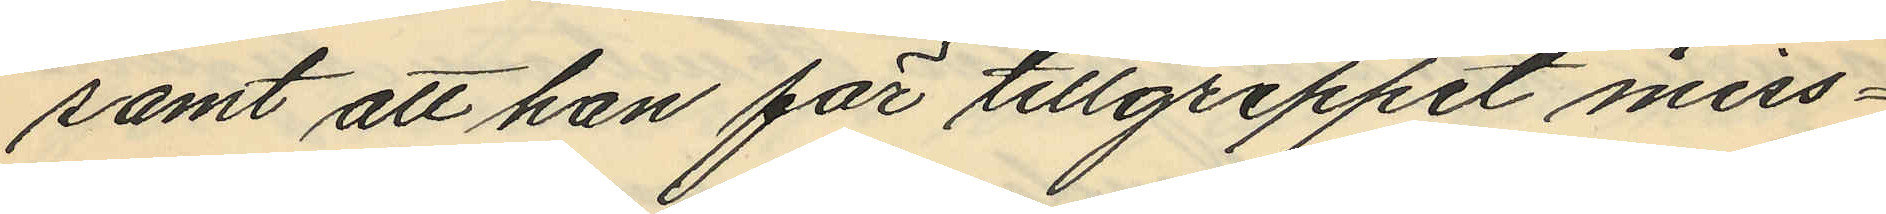samt att han för tillgreppet miss¬
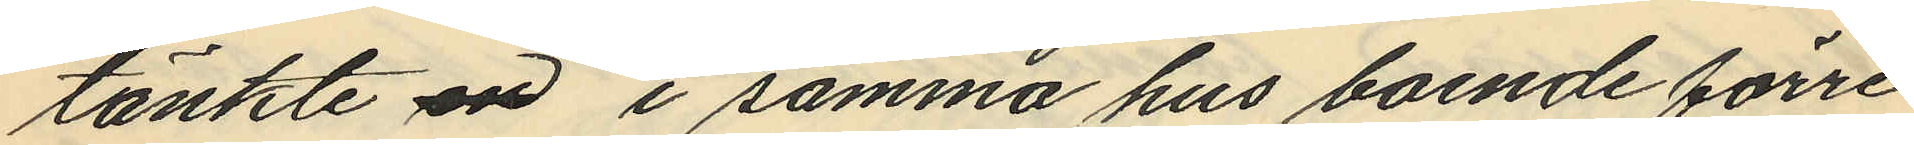tänkte en i samma hus boende förre
